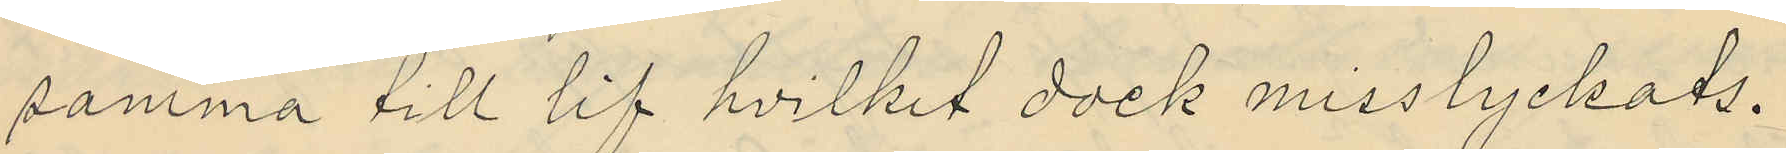samma till lif hvilket dock misslyckats.
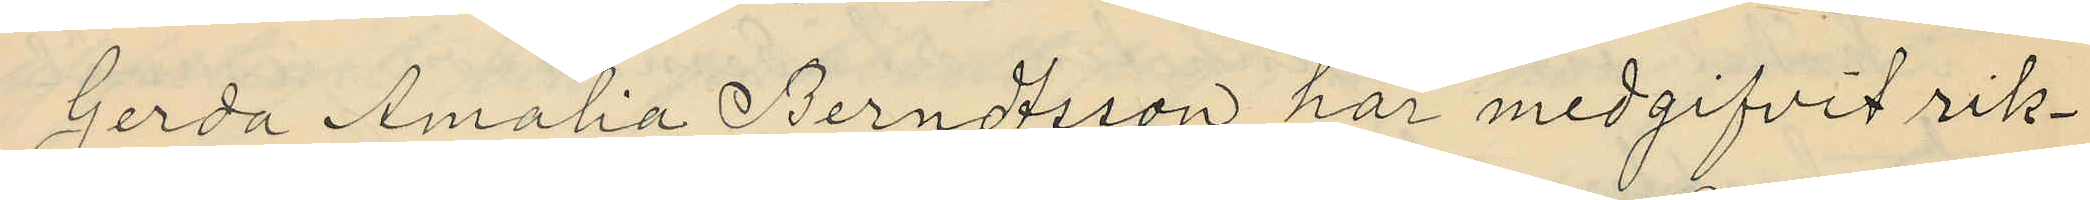Gerda Amalia Berndtsson har medgifvit rik¬
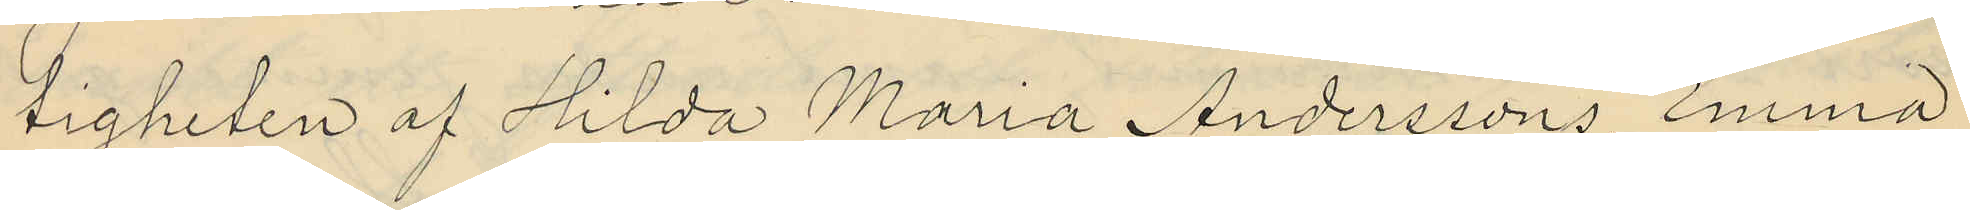tigheten af Hilda Maria Anderssons, Emma
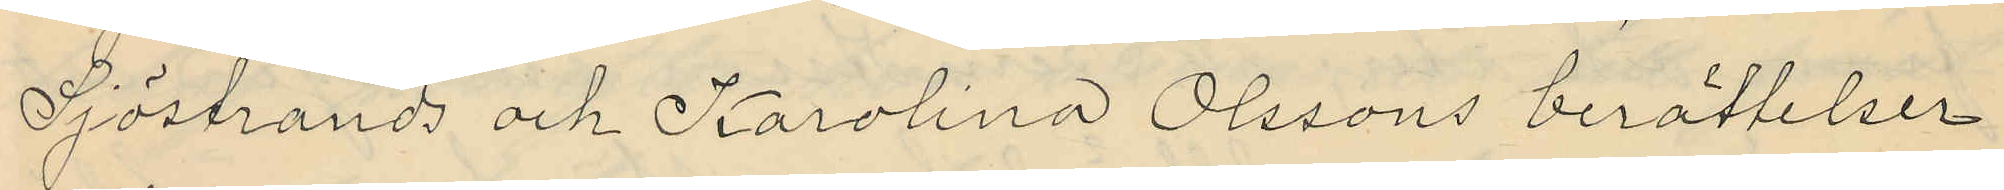Sjöstrands och Karolina Olssons berättelser
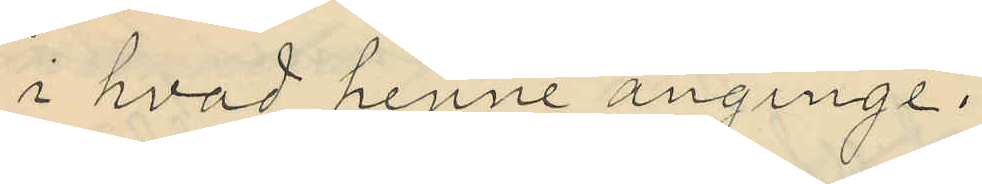i hvad henne anginge.
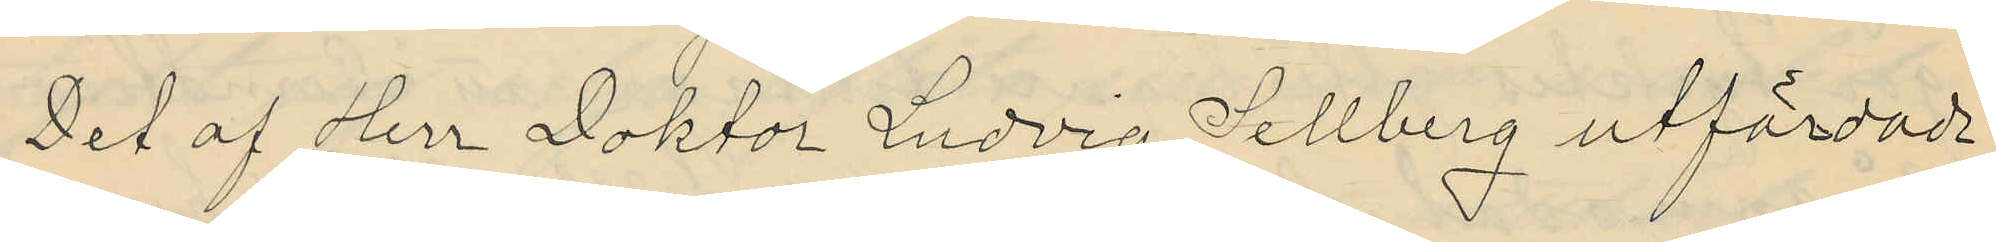Det af Herr Doktor Ludvig Sellberg utfärdade
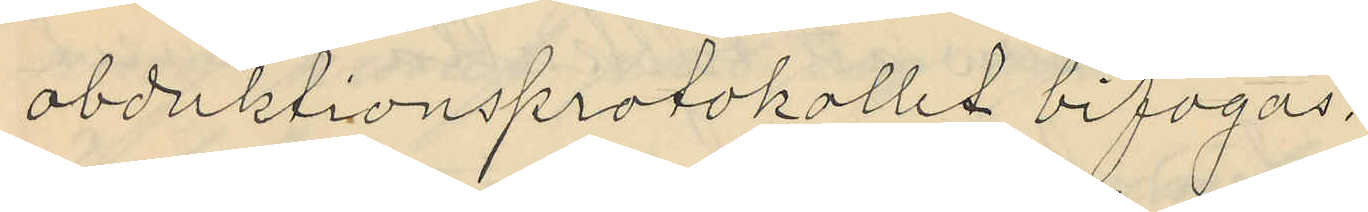obduktionsprotokollet bifogas.
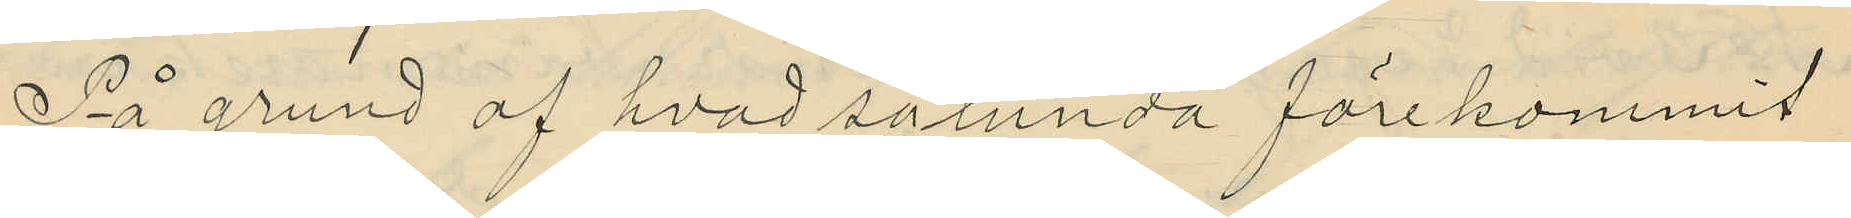På grund af hvad sålunda förekommit
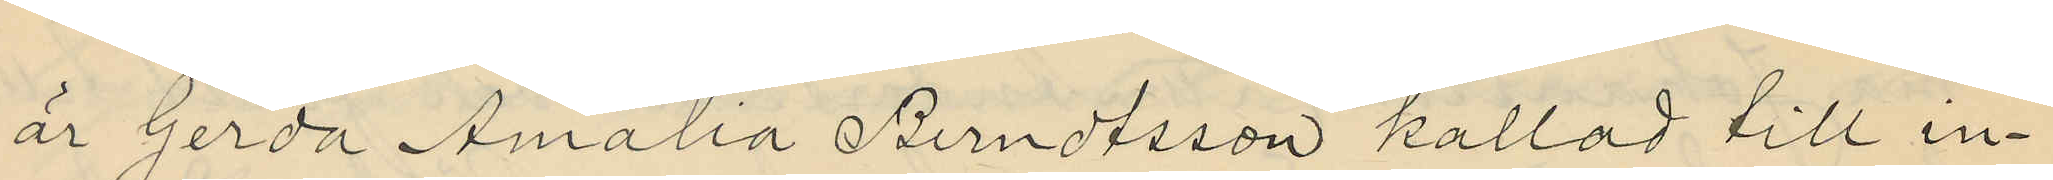är Gerda Amalia Berndtsson kallad till in¬
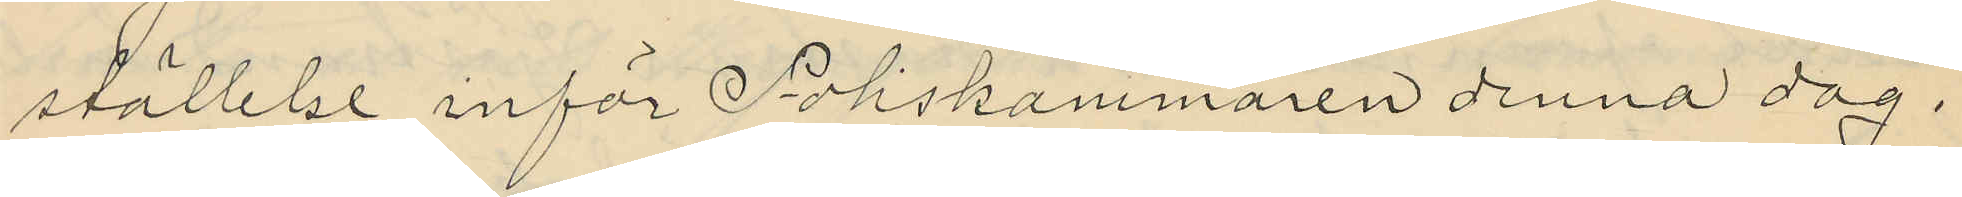ställelse inför Poliskammaren denna dag.
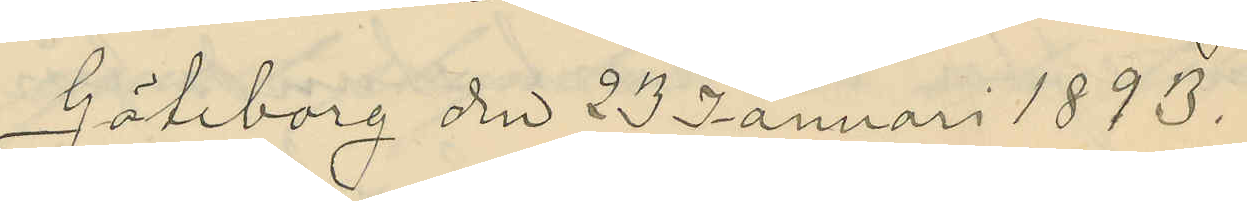Göteborg den 23 Januari 1893.
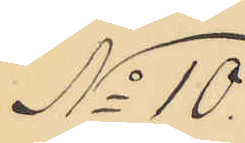No 10.
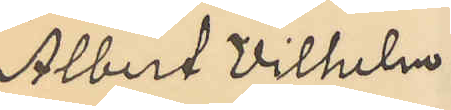Albert Vilhelm
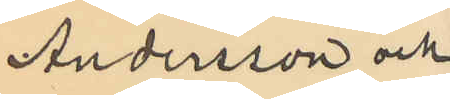Andersson och
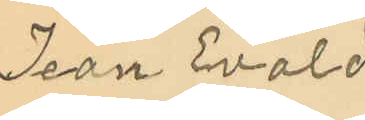Jean Evald
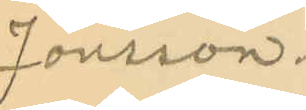Jönsson.
